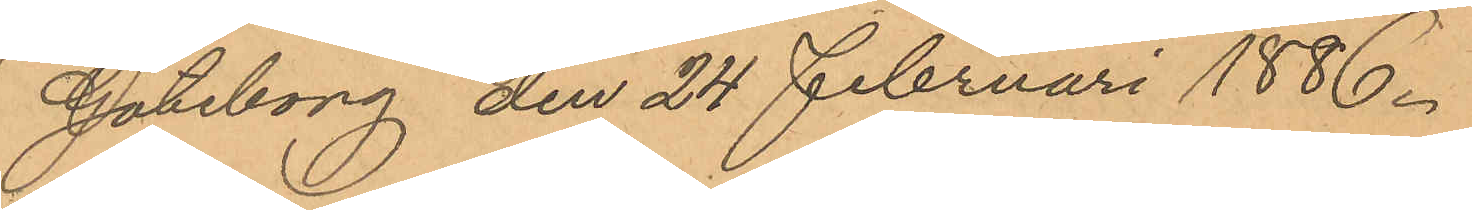Göteborg den 24 Februari 1886.
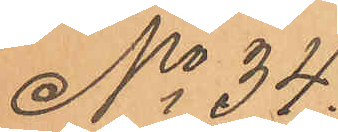No 34.
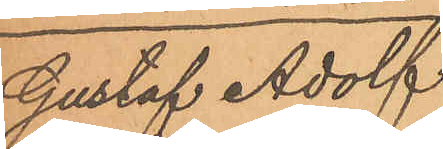Gustaf Adolf
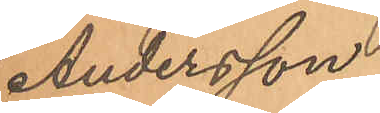Andersson.
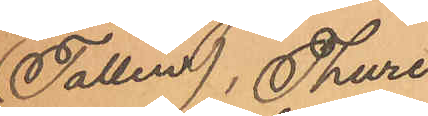(Tallen), Thure
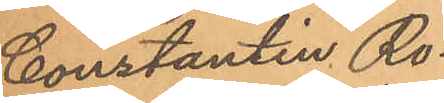Constantin Ro¬
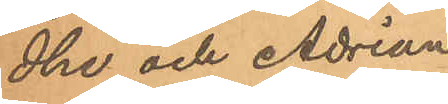dhe och Adrian
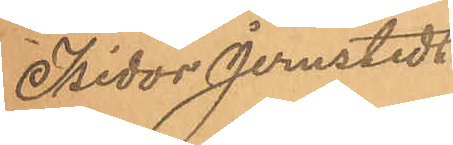Isidor Jernstedt
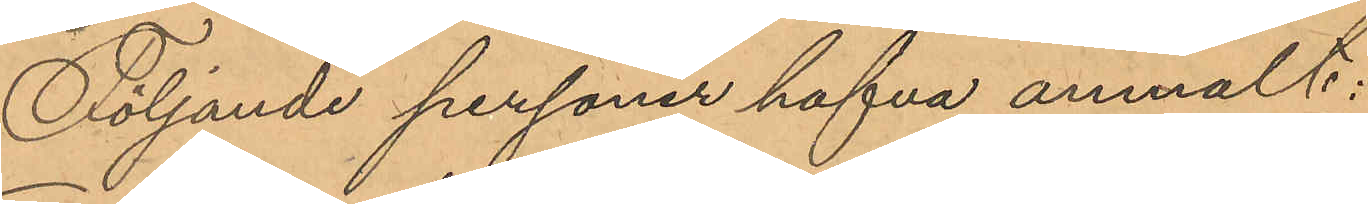Följande personer hafva anmält:
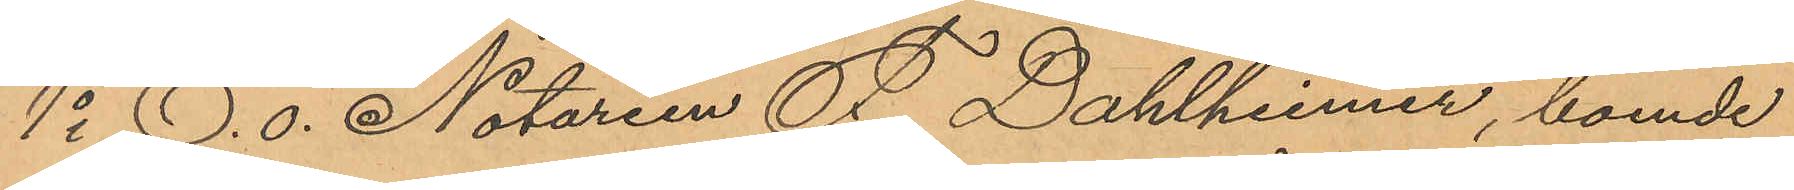1o E. o. Notarien F. Dahlheimer, boende
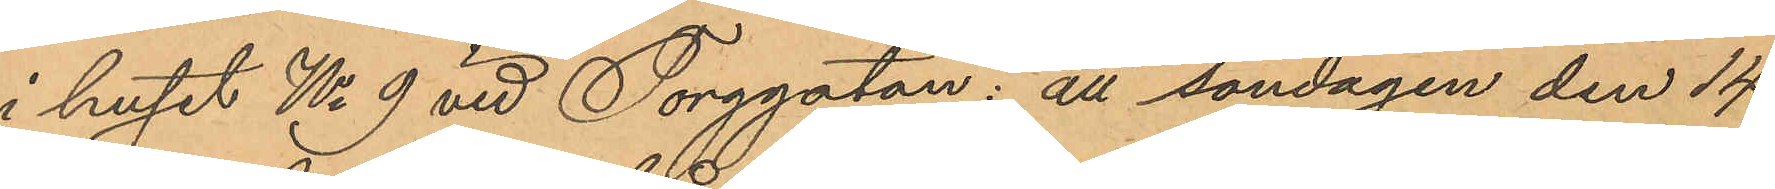i huset No 9 vid Torggatan: att söndagen den 14
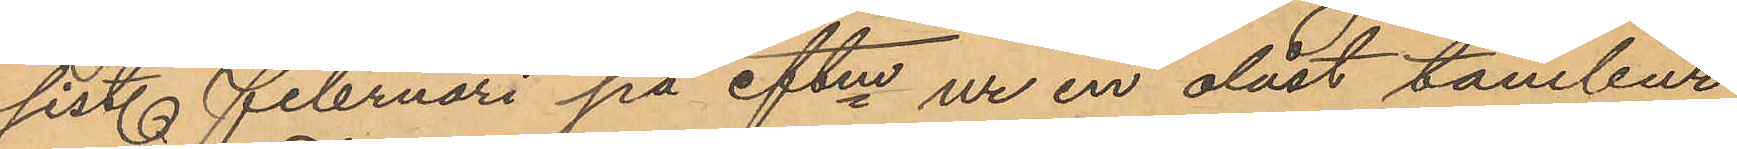sist. Februari på eftm ur en olåst tambur
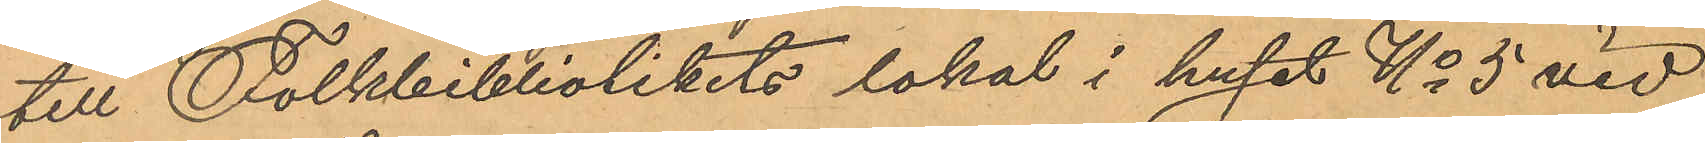till Folkbibliotekets lokal i huset No 5 vid
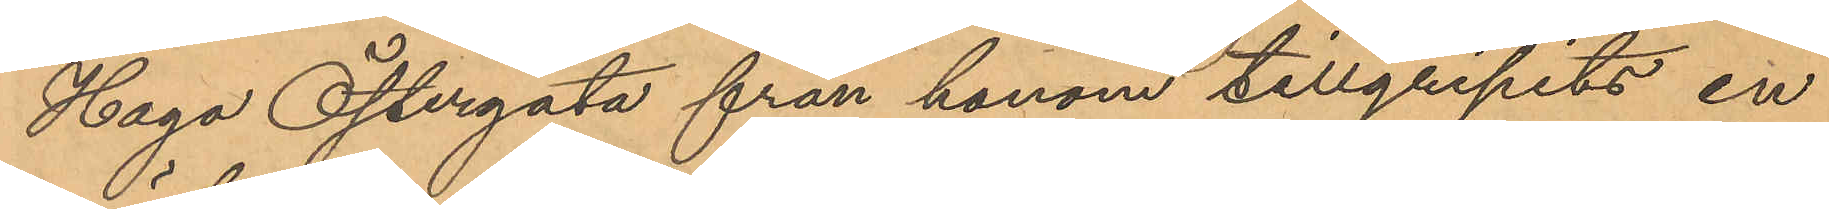Haga Östergata från honom tillgripits en
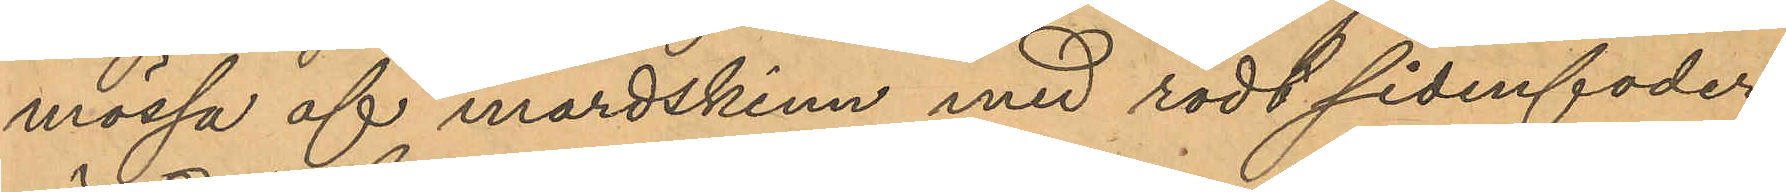mössa af mårdskinn med rödt sidenfoder,
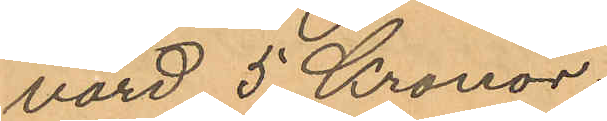värd 5 Kronor;
